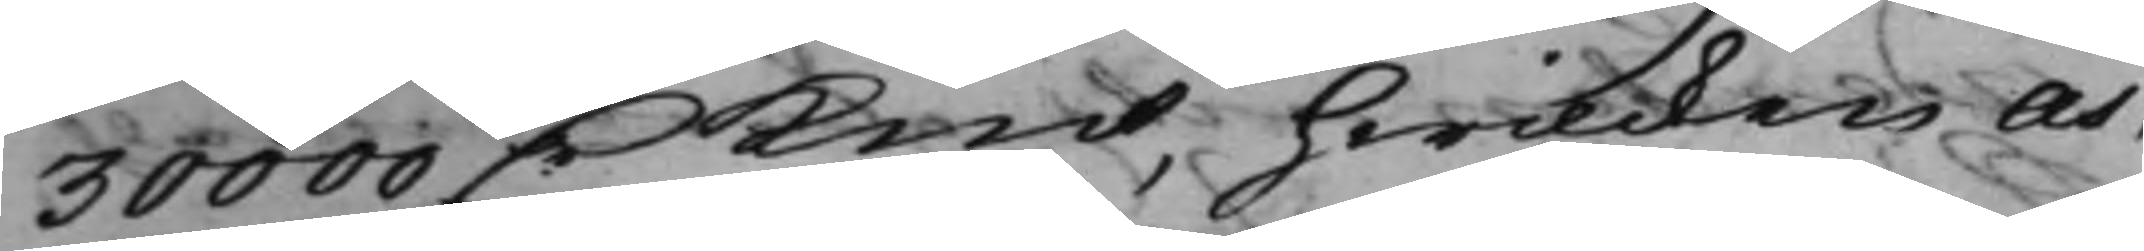30000 D.rKmt, hwilcken As¬
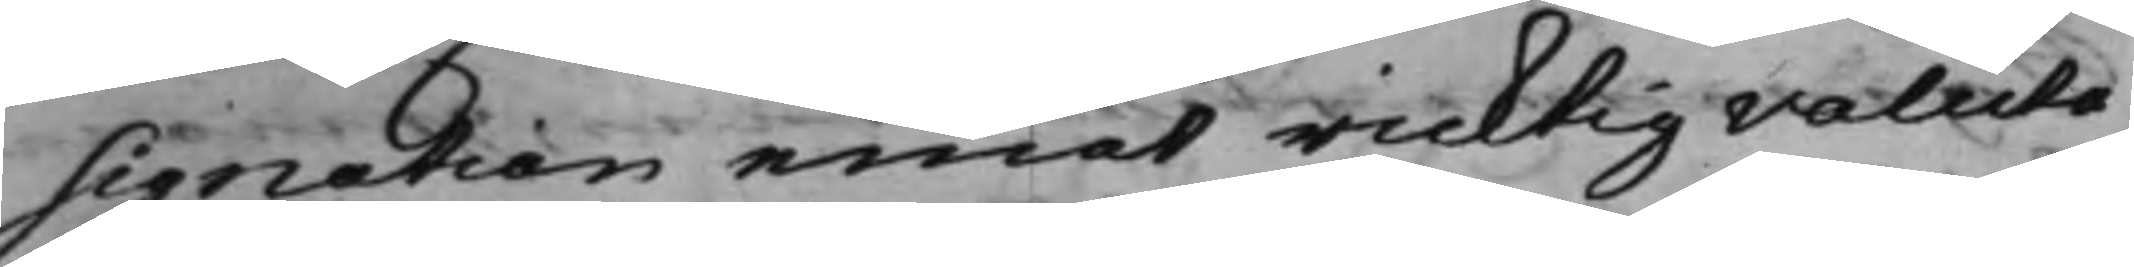signation emot ricktig valuta
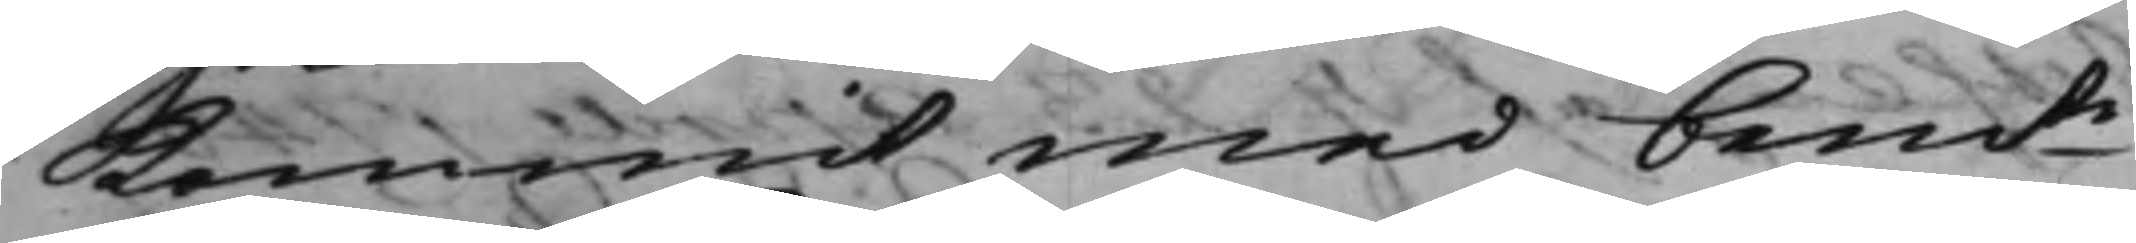kommit med bemte
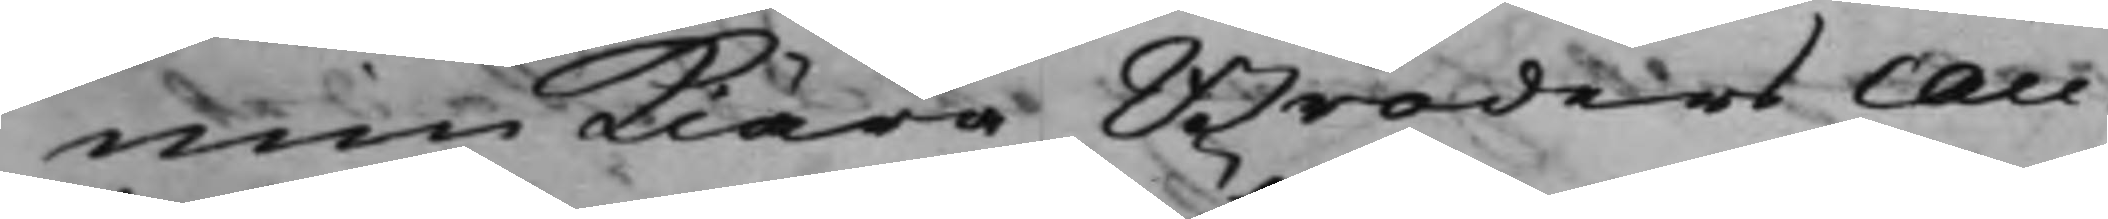min kiära broders Cau¬
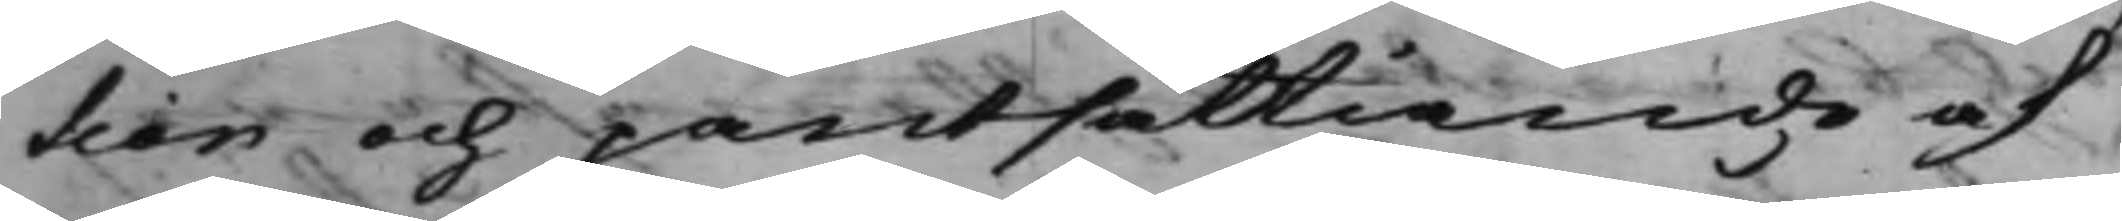tion och pantsättiande af
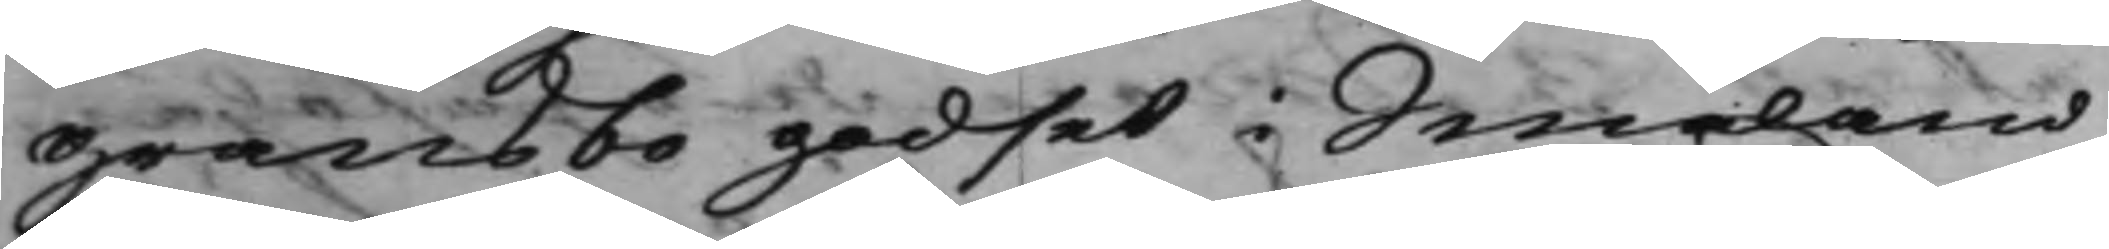Gransbo godset i Småland,
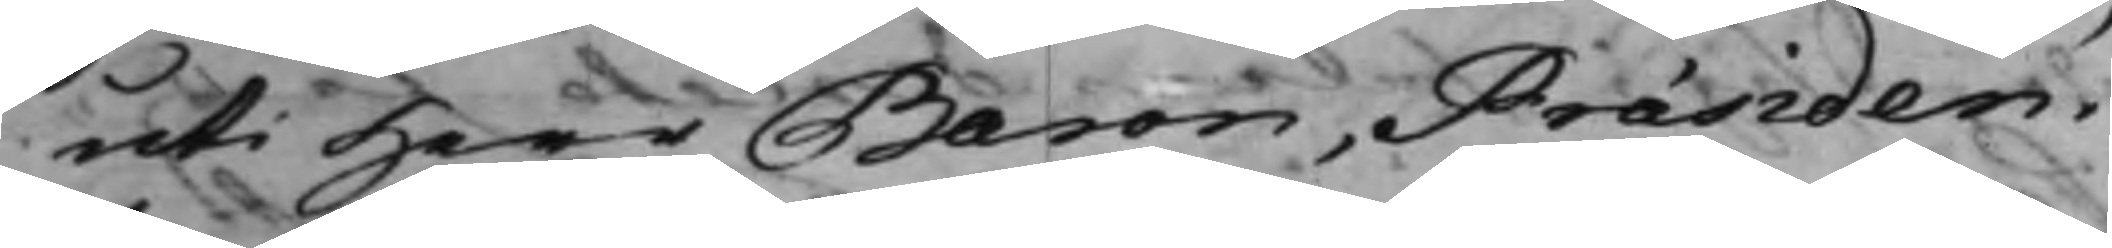uti Herr Baron, Præsiden¬
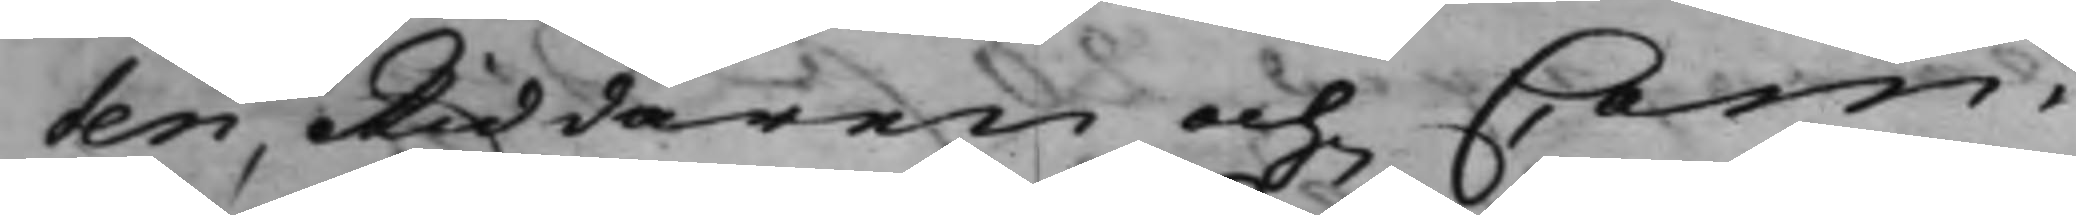ten, Riddaren och Com¬
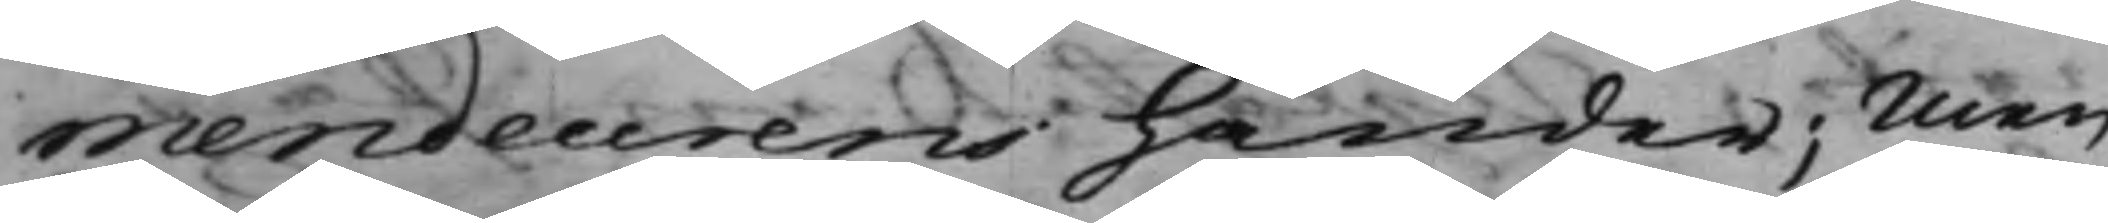mendeurens händer; Men
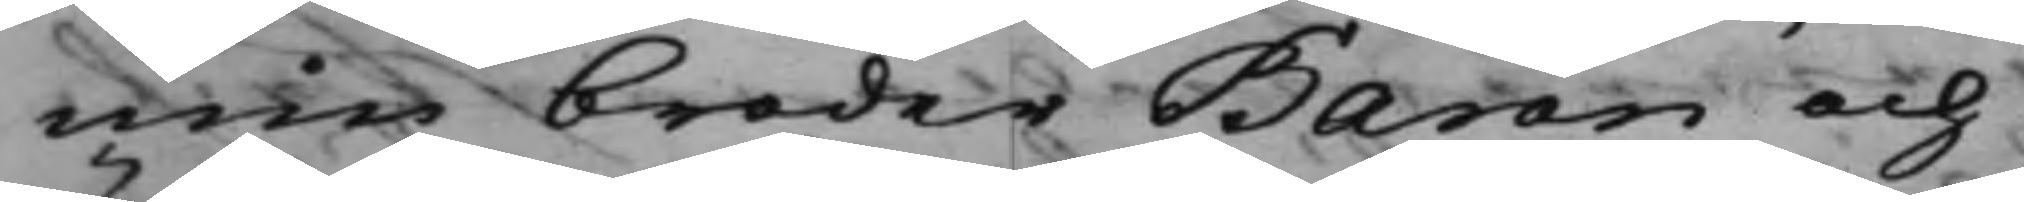min broder Baron och
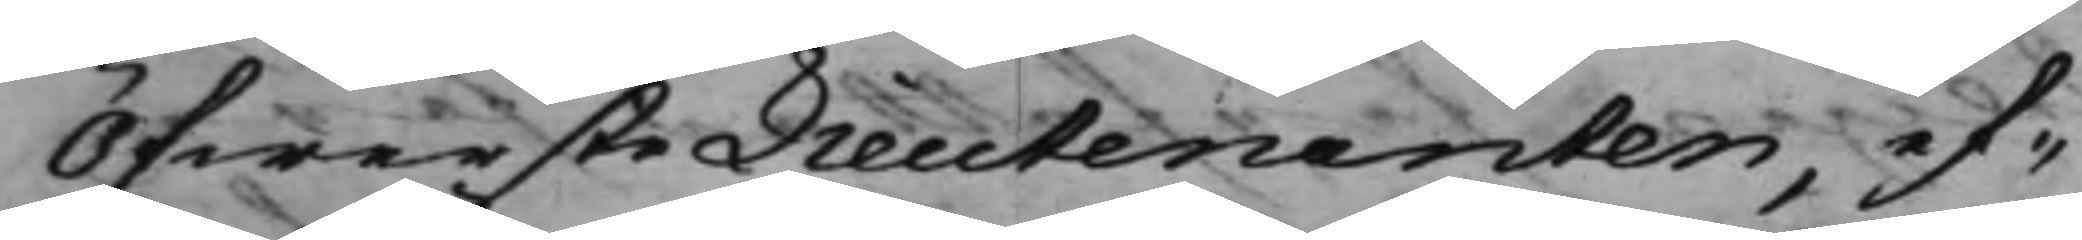ÖfwersteLieutenanten, ef¬
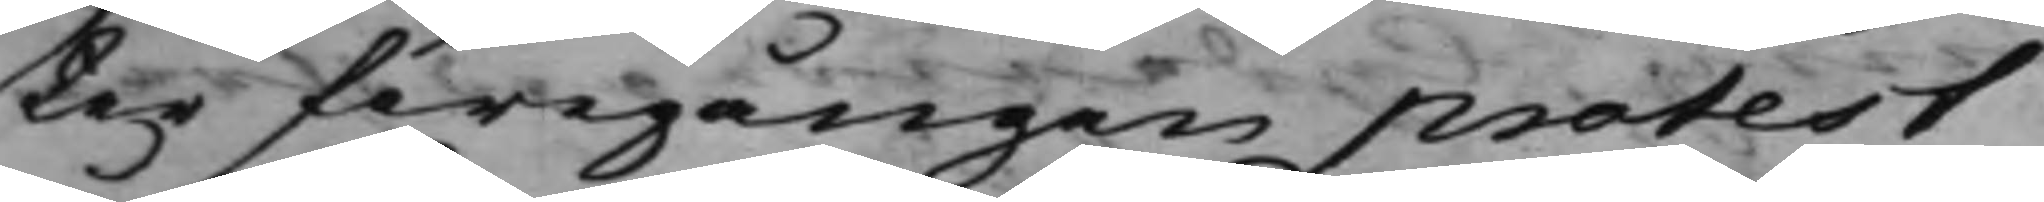ter föregången protest
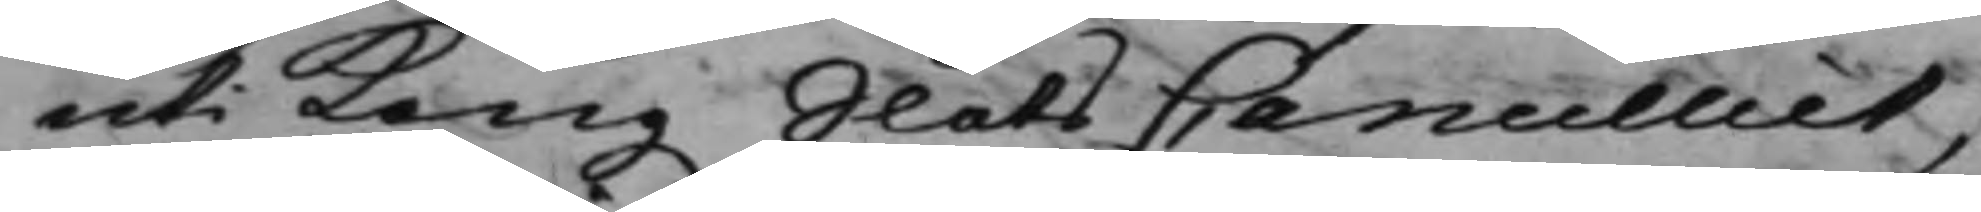uti Kong. SlotsCancelliet,
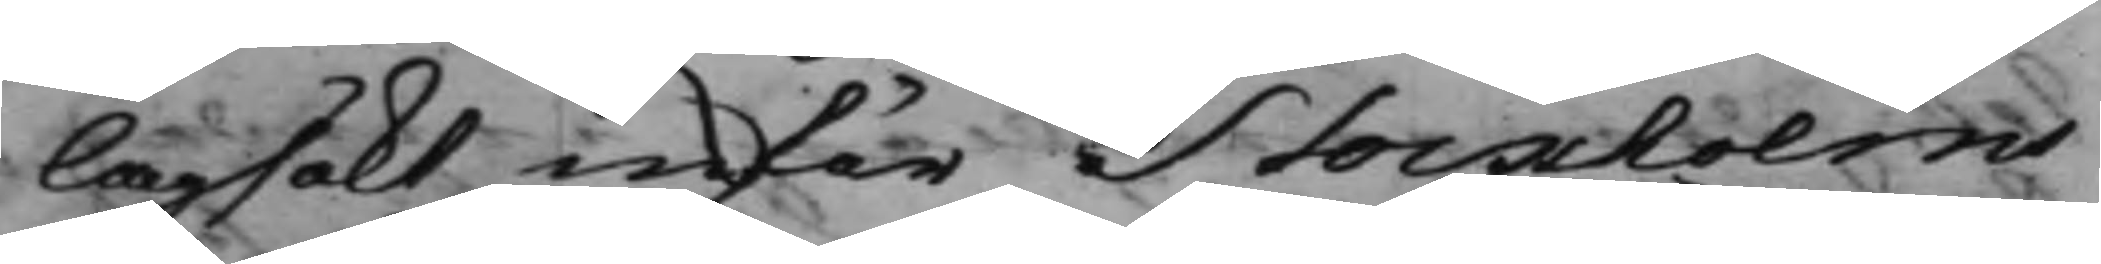lagsökt inför Stockholms
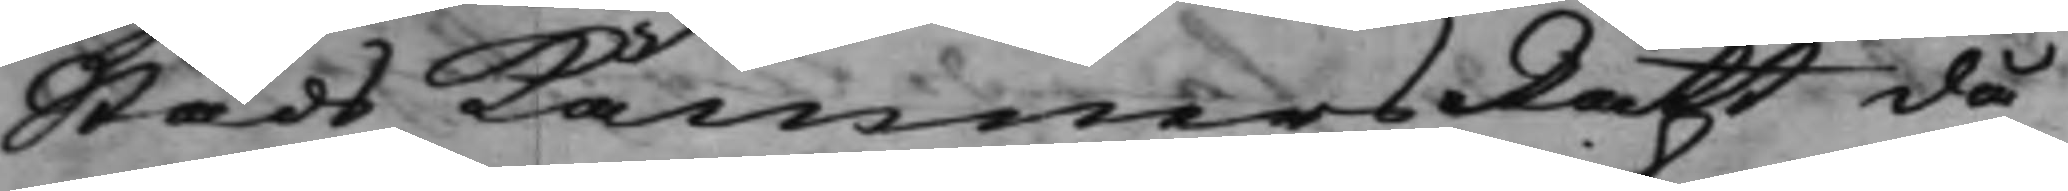Stads KämnersRätt då¬
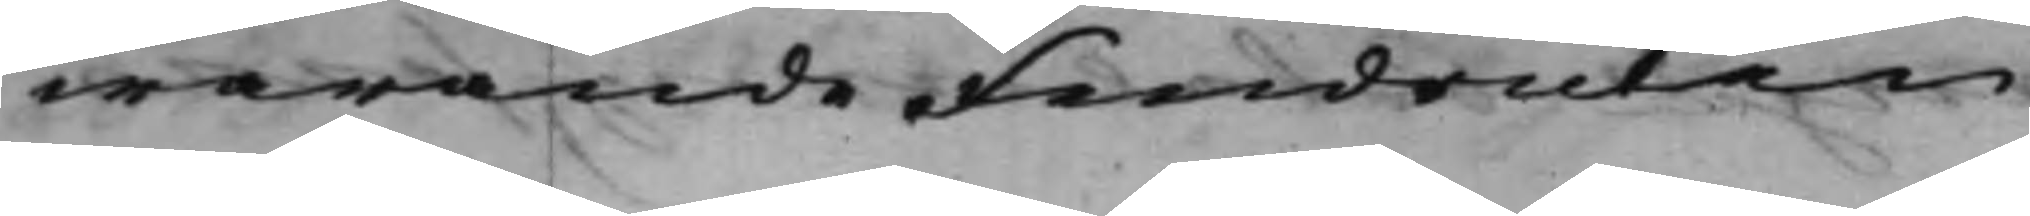warande Fendriken
